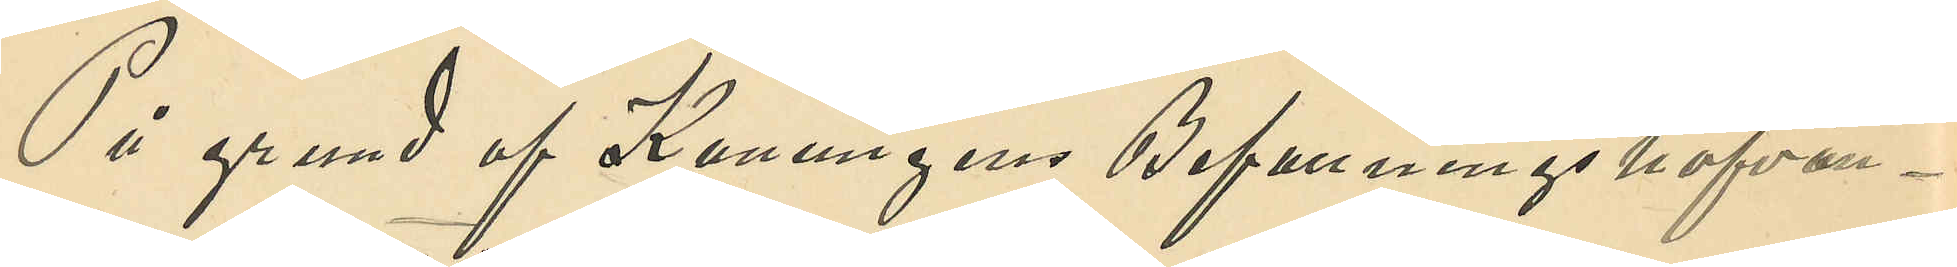På grund af Konungens Befallningshafvan¬
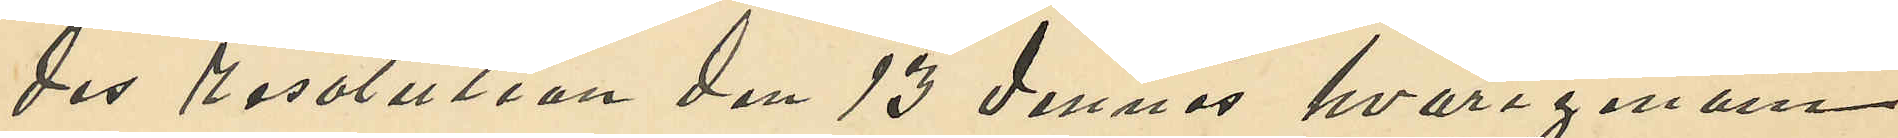des resolution den 13 dennes hvarigenom
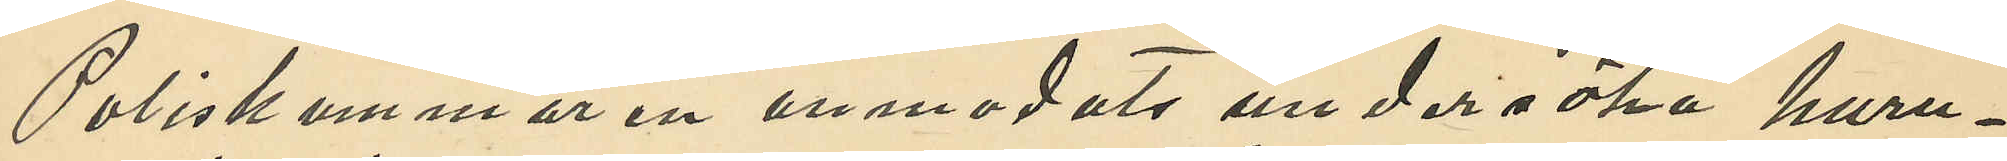Poliskammaren anmodats undersöka huru¬
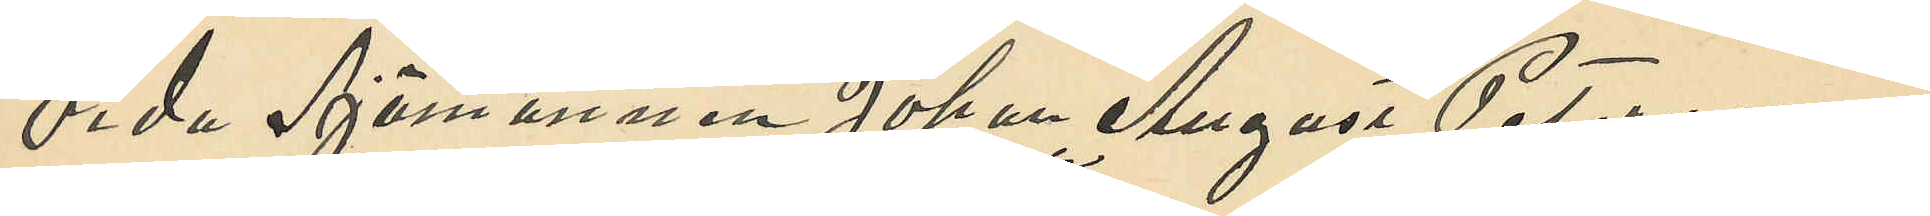vida Sjömannen Johan August Petersson,
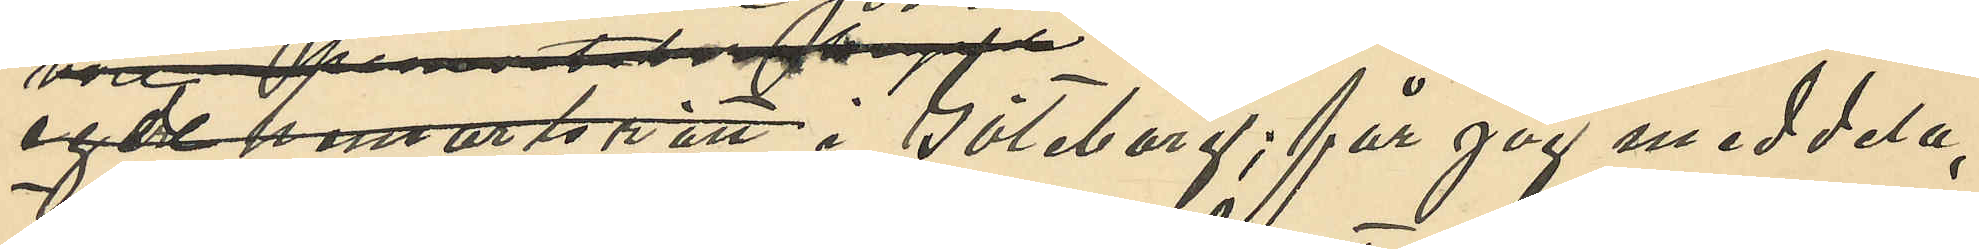egde hemortsrätt i Göteborg; får jag meddela,
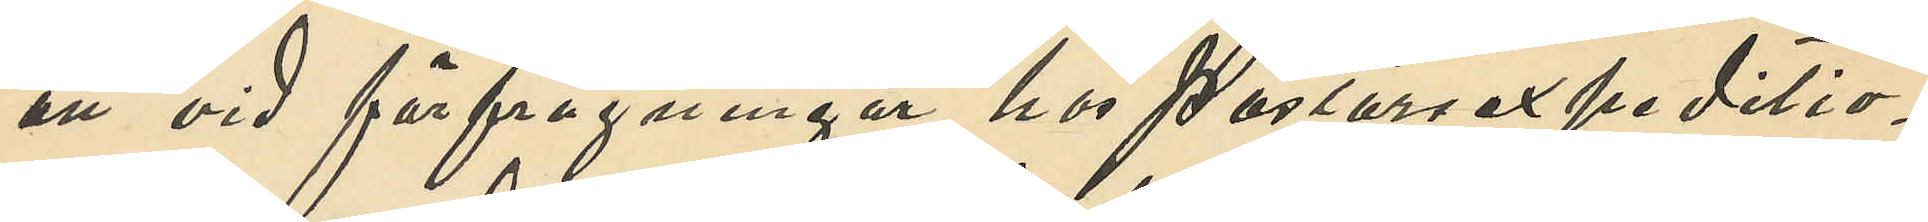att vid förfrågningar hos Pastorsexpeditio¬
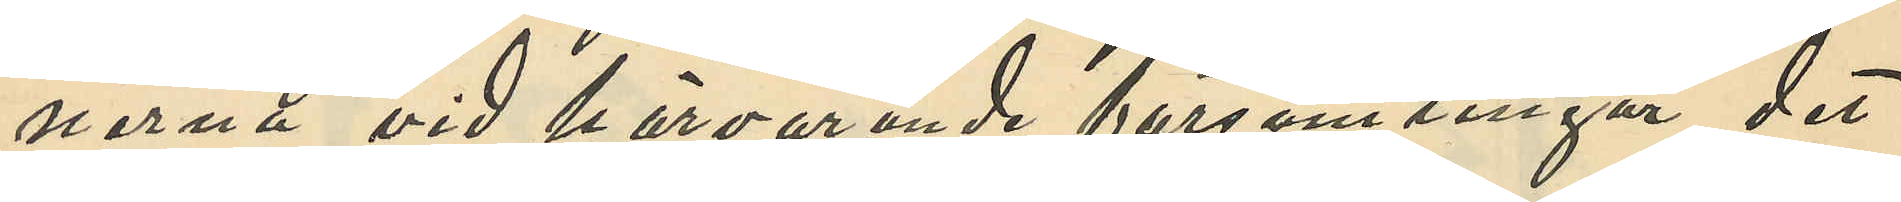nerna vid härvarande församlingar det
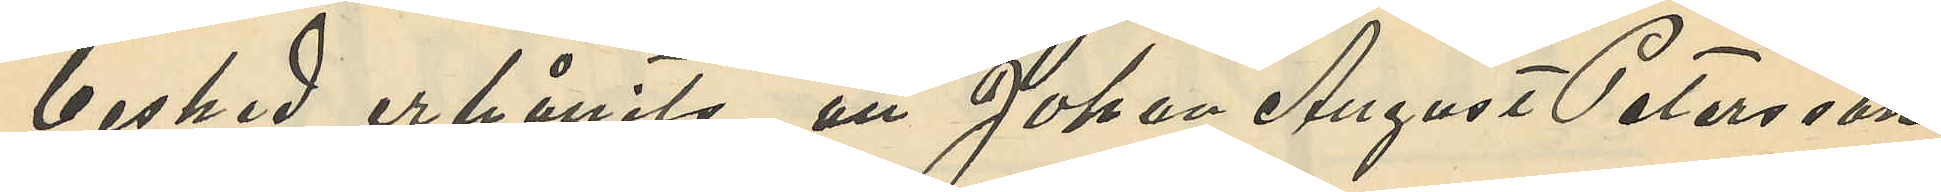besked erhållits att Johan August Petersson
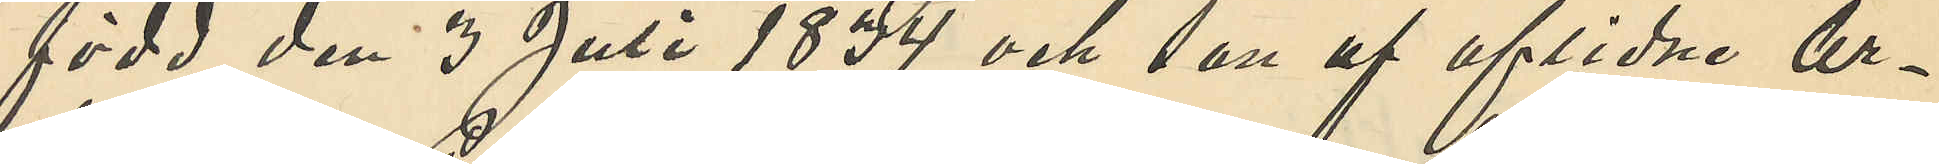född den 3 Juli 1834 och son af aflidne Ar¬
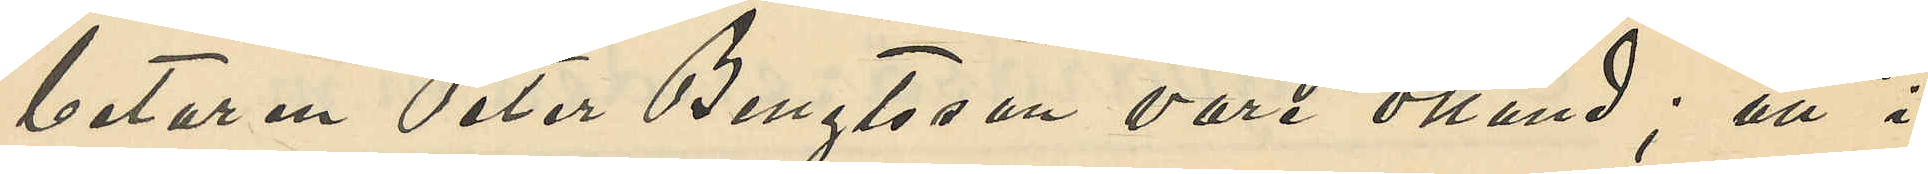betaren Peter Bengtsson vare okänd; att i
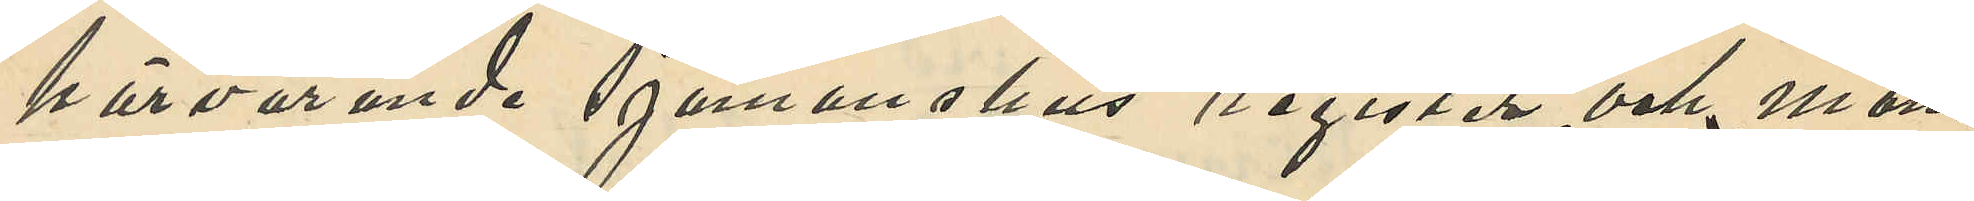härvarande Sjömanshus´ register och mön¬
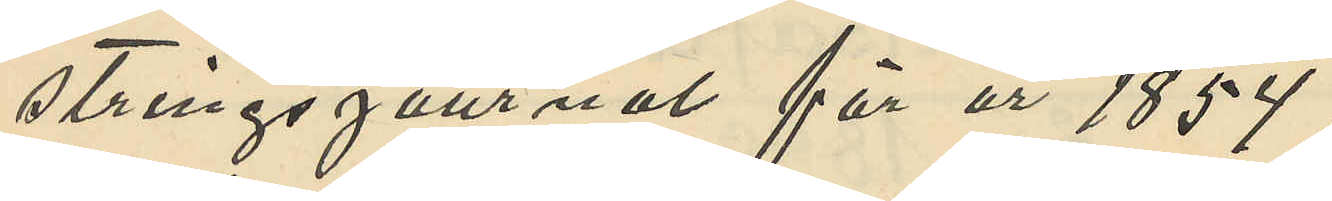stringsjournal för år 1854
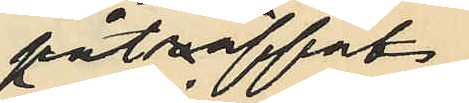påträffats
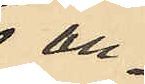an¬
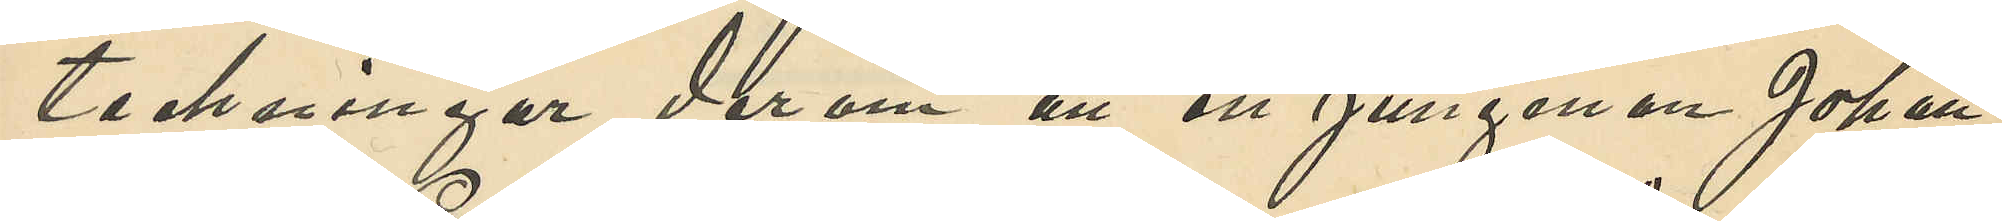teckningar derom att en jungman Johan
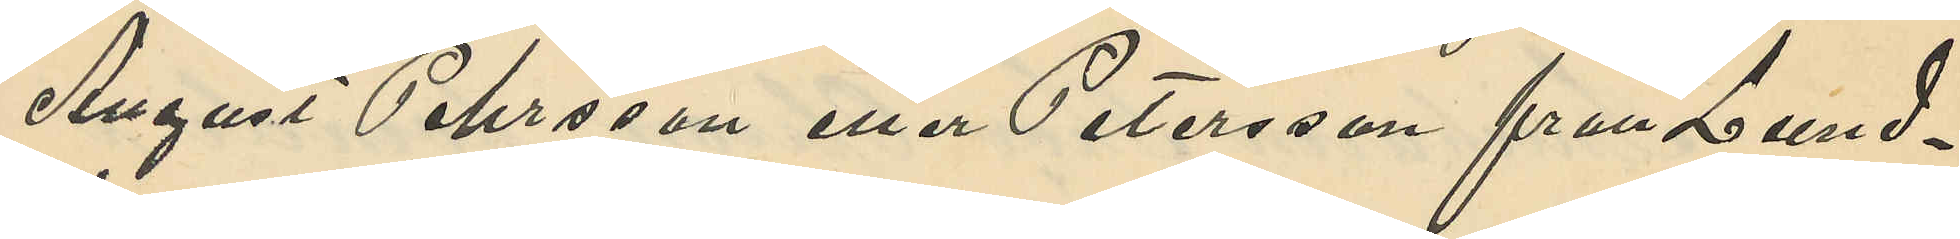August Pehrsson eller Petersson från Lund¬
